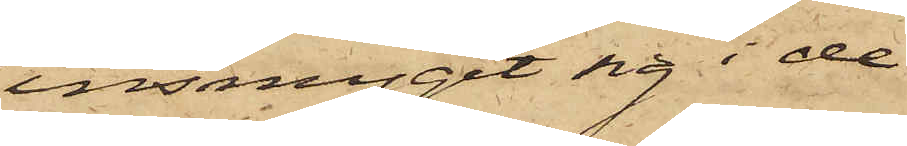insmugit sig i de
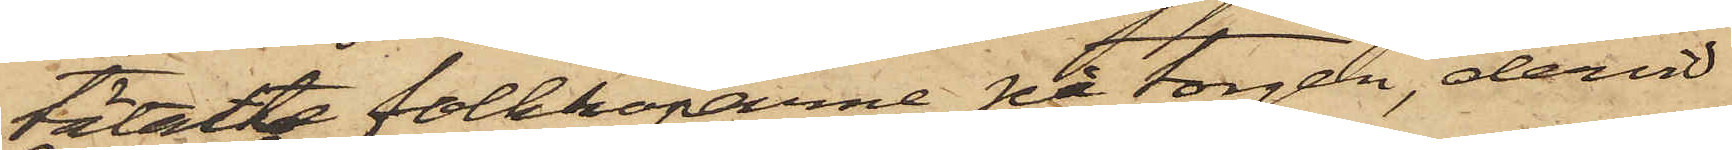tätaste folkhoparne på torgen, dervid
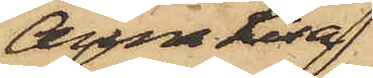Anna Lisa
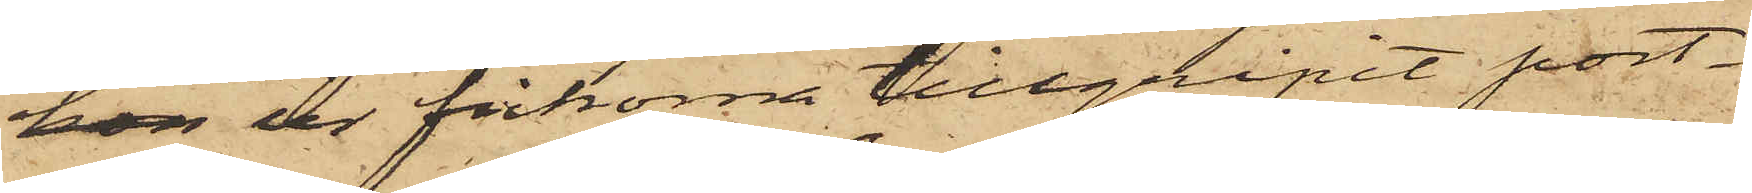hon ur fickorna tillgripit port¬
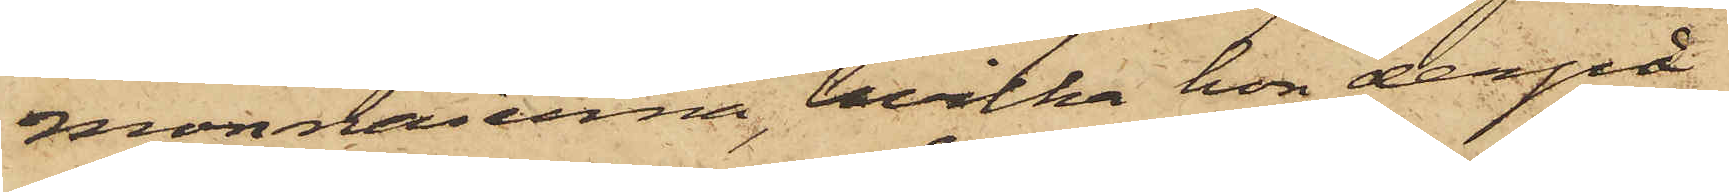monnaierna, hvilka hon derpå
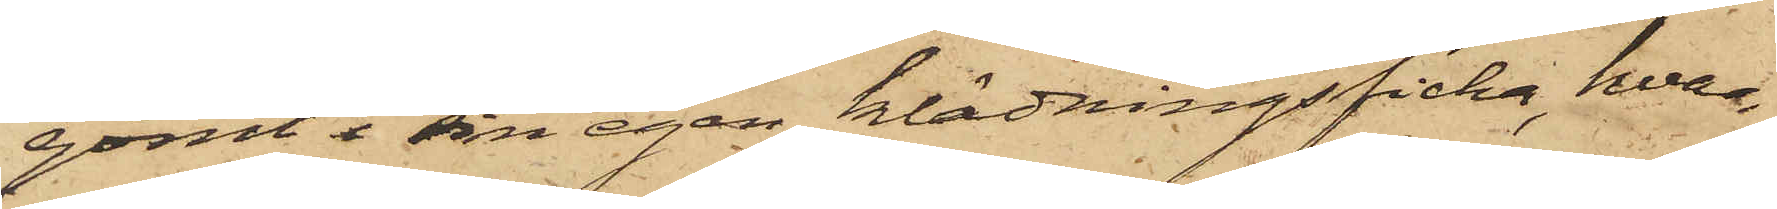gömt i sin egen klädningsficka, hvar¬
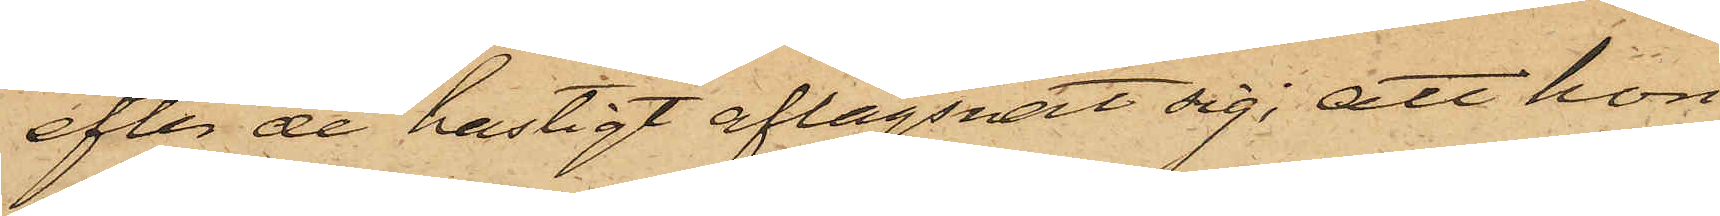efter de hastigt aflägsnat sig; att hon
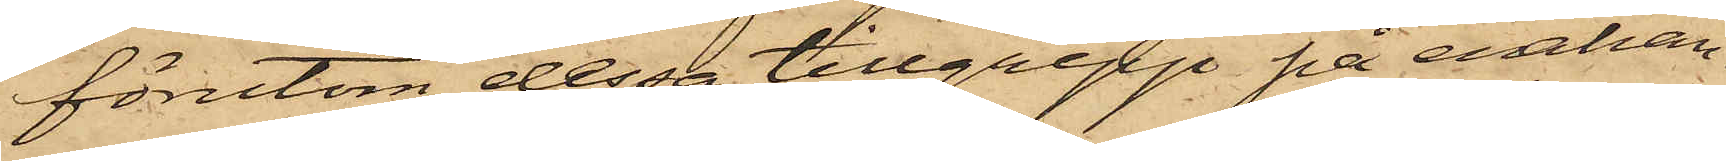förutom dessa tillgrepp på enhan¬
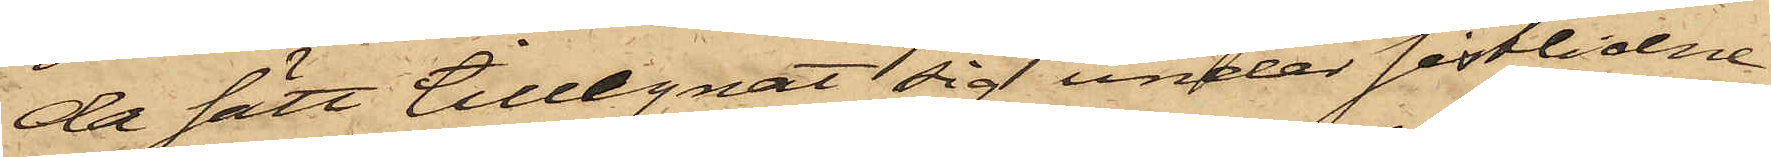da sätt tillegnat sig under sistlidne
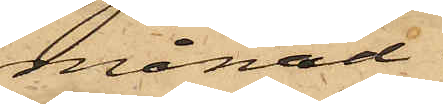månad
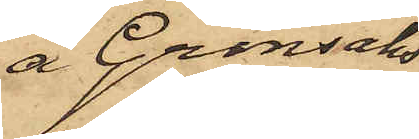å Grönsaks¬
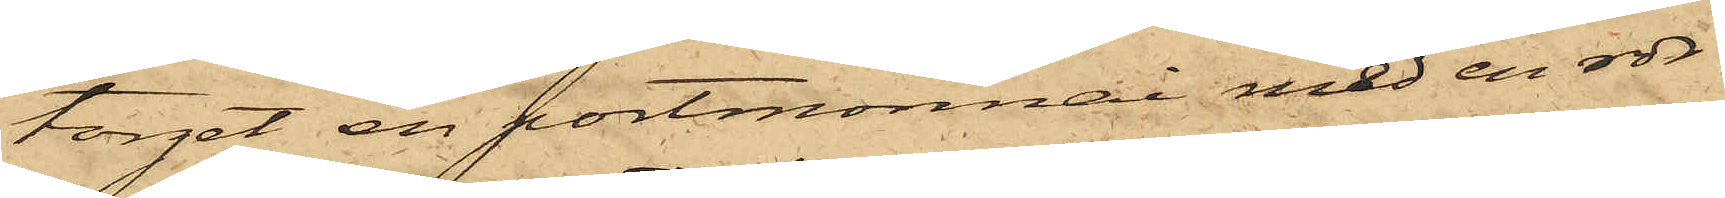torget en portmonnai med en rdr
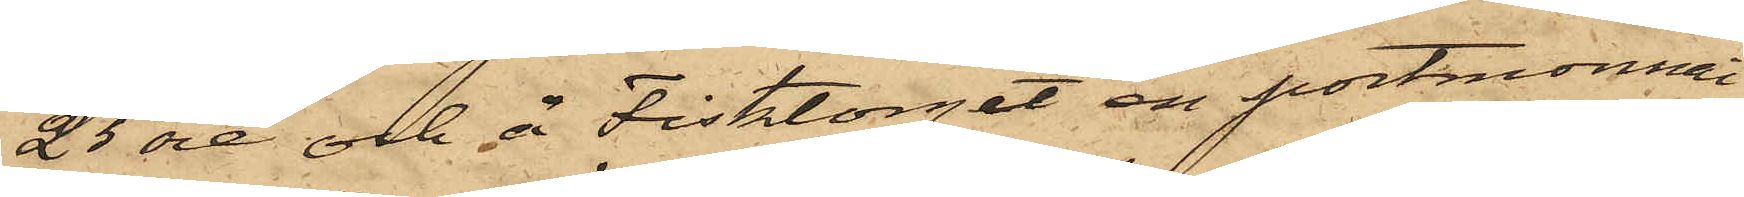25 öre och å Fisktorget en portmonnai
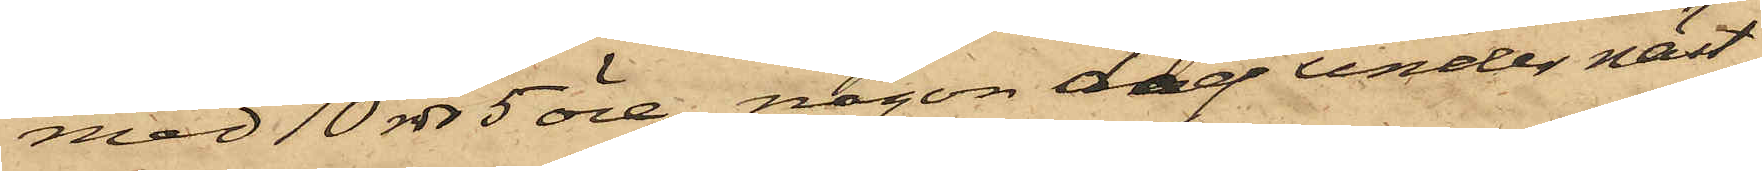med 10 rdr 5 öre, någon dag under näst¬
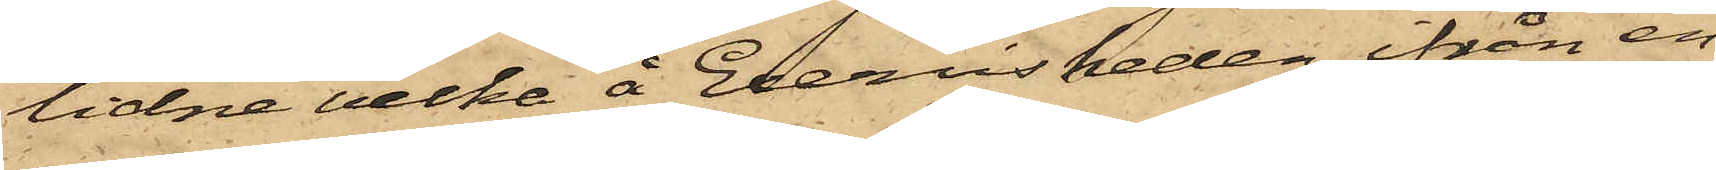lidne vecka å Execisheden ifrån en
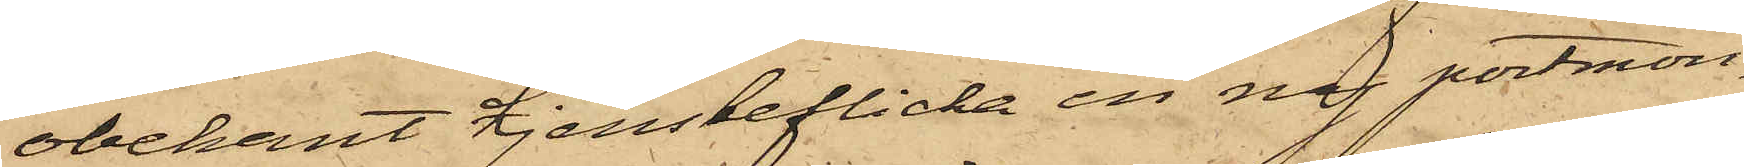obekant tjensteflicka en ny portmon¬
